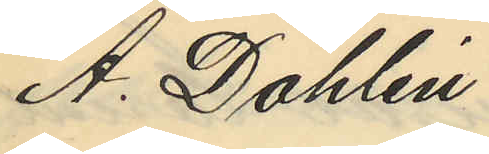A. Dahlén
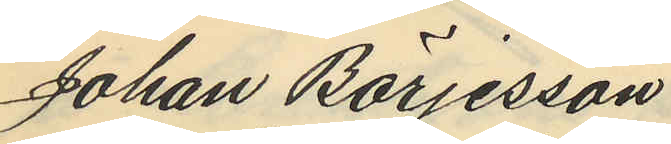Johan Börjesson
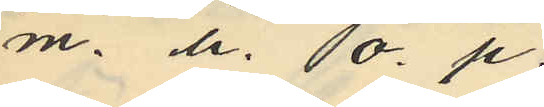m. h. o. p.
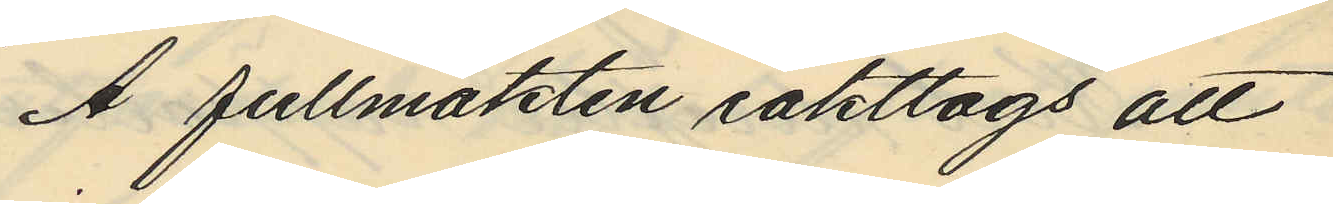Å fullmakten iakttogs att
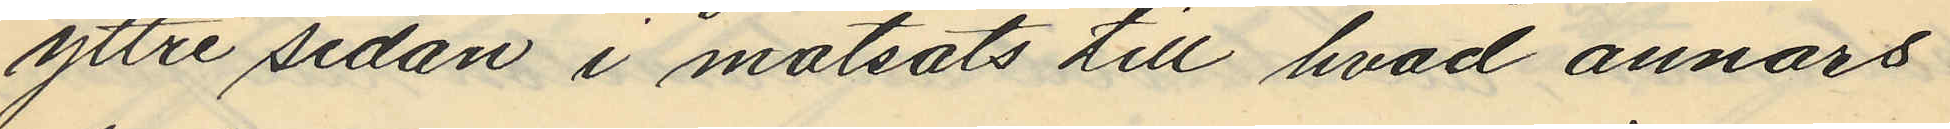yttre sidan i motsats till hvad annars
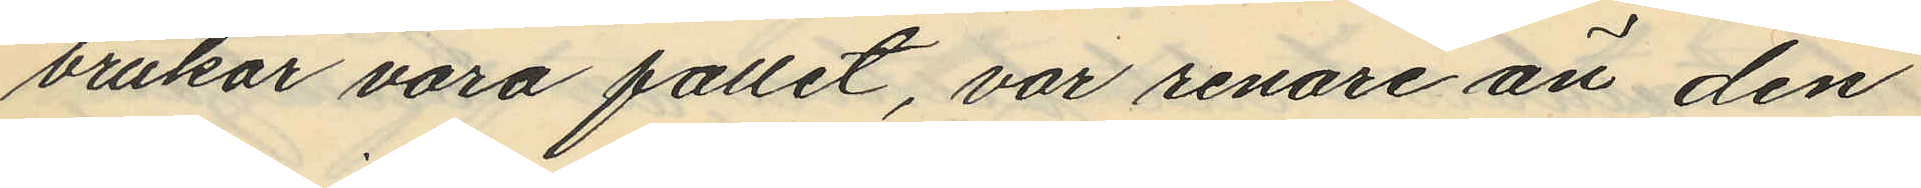brukar vara fallet, var renare än den
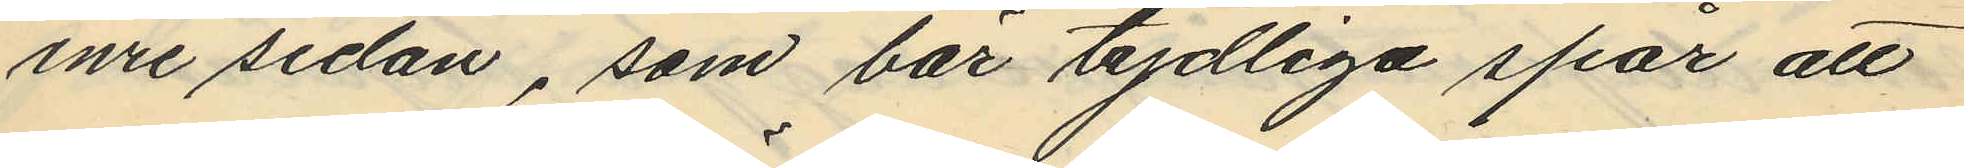inre sidan, som bär tydliga spår att
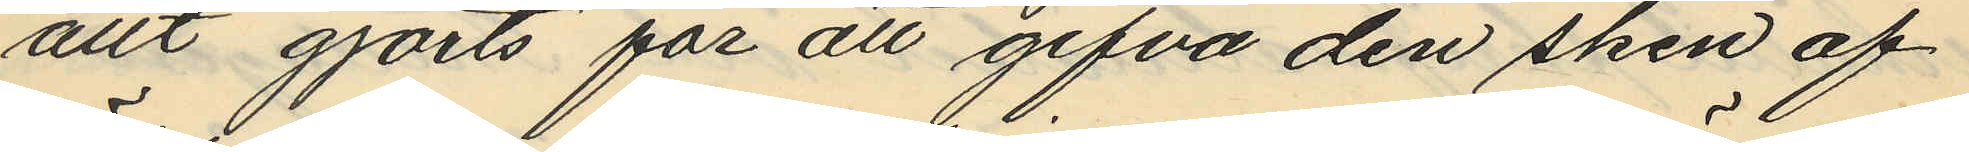allt gjorts för att gifva den sken af
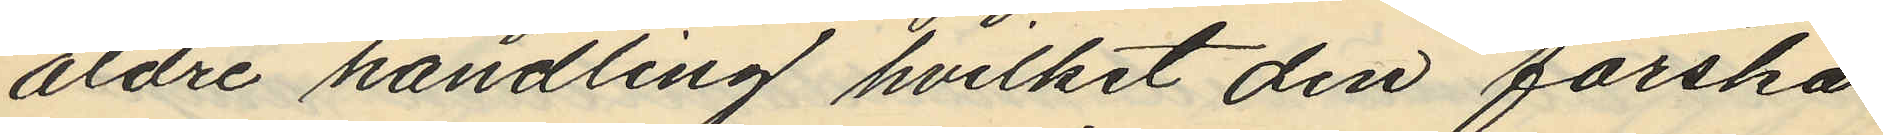äldre handling hvilket den färska
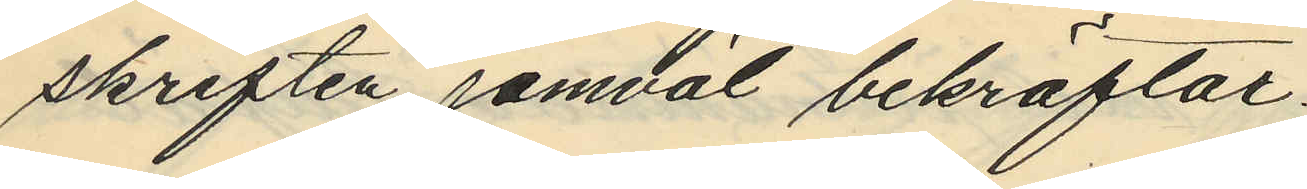skriften jämväl bekräftar.
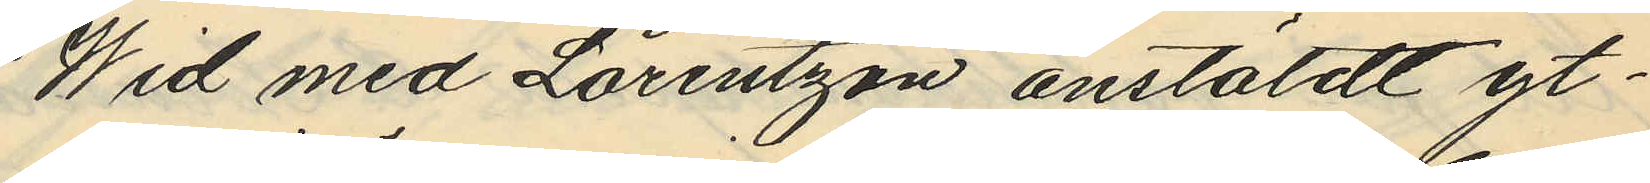Wid med Lorentzon anstäldt yt¬
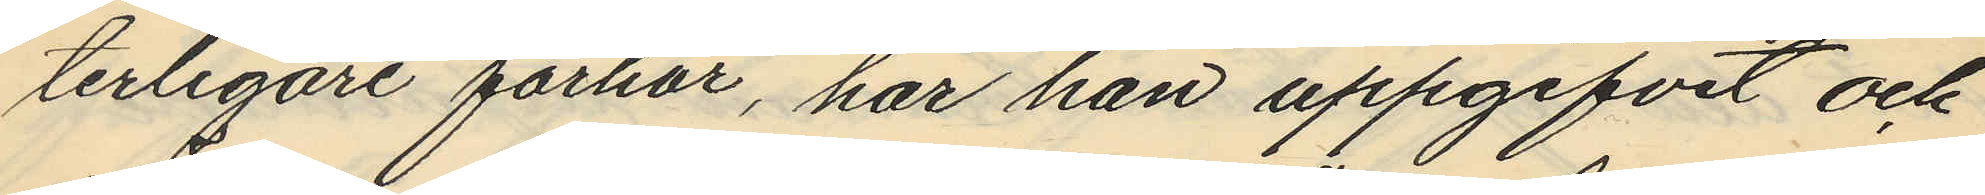terligare förhör, har han uppgifvit och
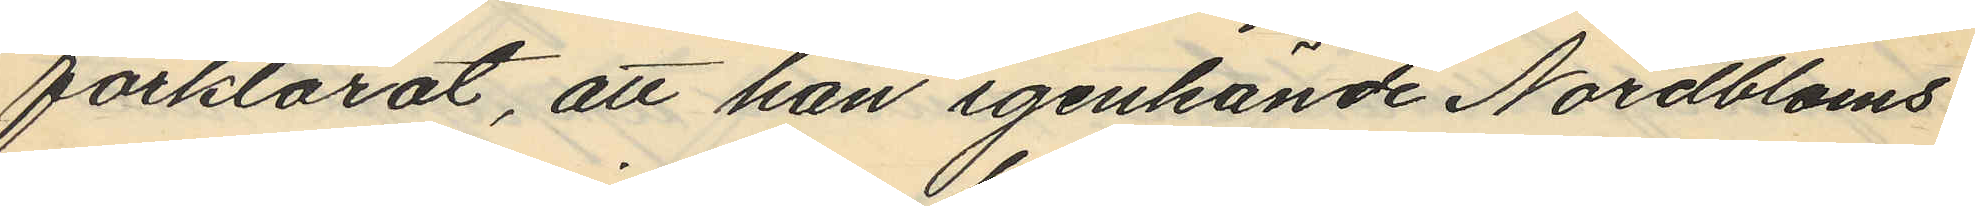förklarat, att han igenkände Nordbloms
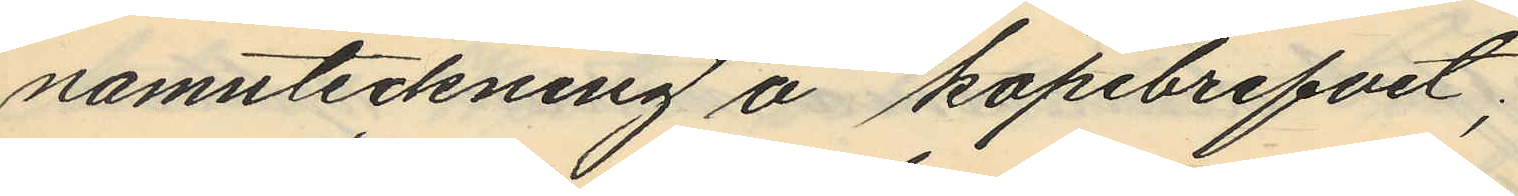namnteckning å köpebrefvet;
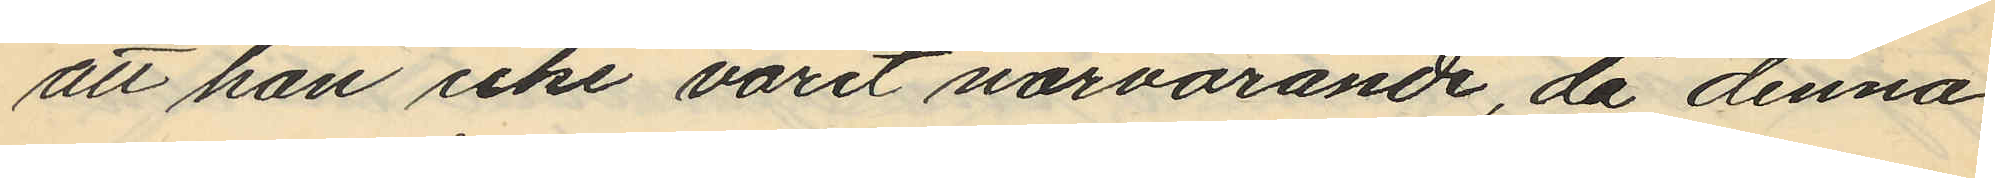att han icke varit närvarande, då denna
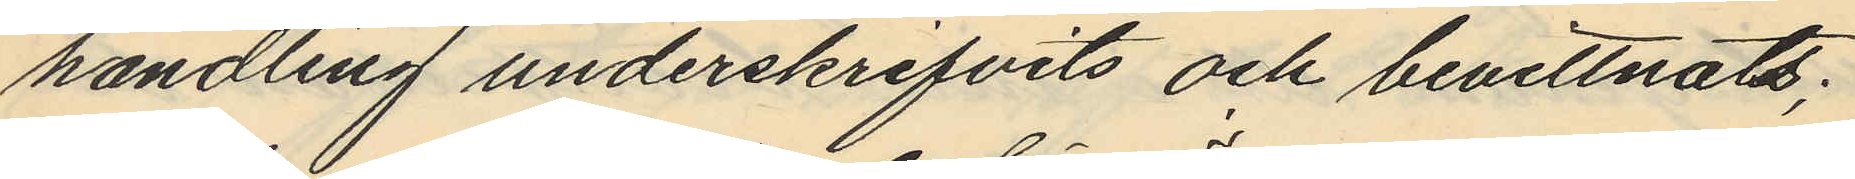handling underskrifvits och bevittnats;
